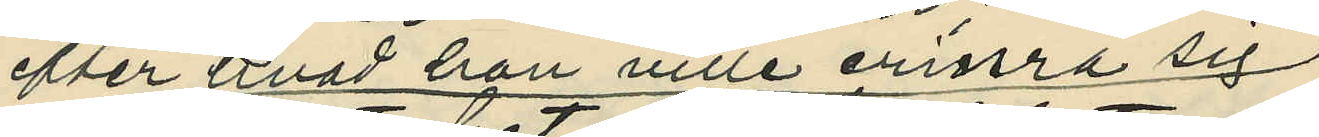efter hvad hon ville erinra sig
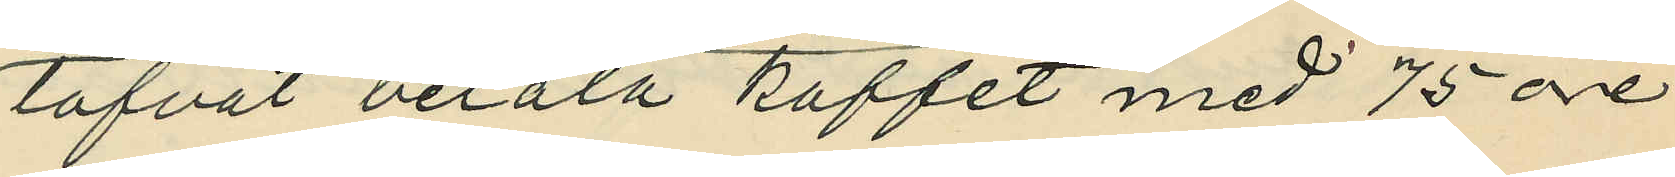lofvat betala kaffet med 75 öre
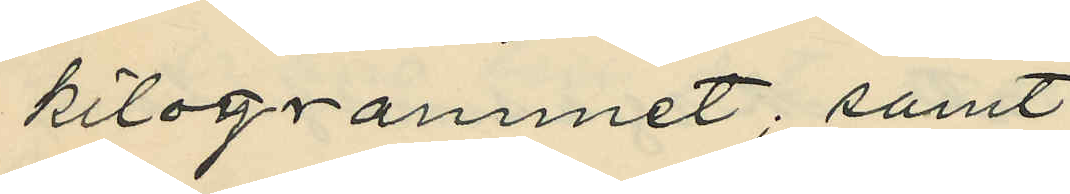kilogrammet; samt
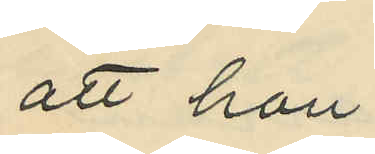att hon
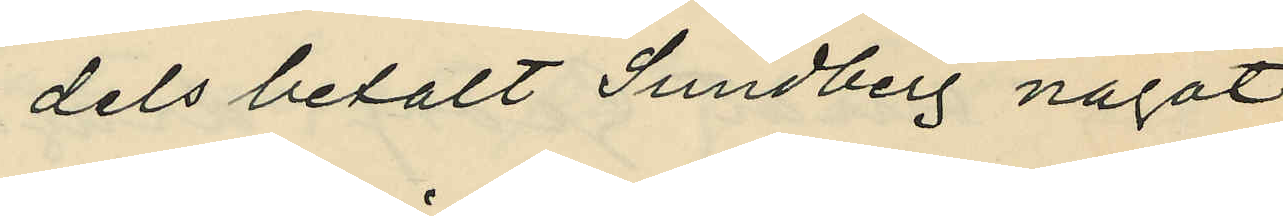dels betalt Sundberg något
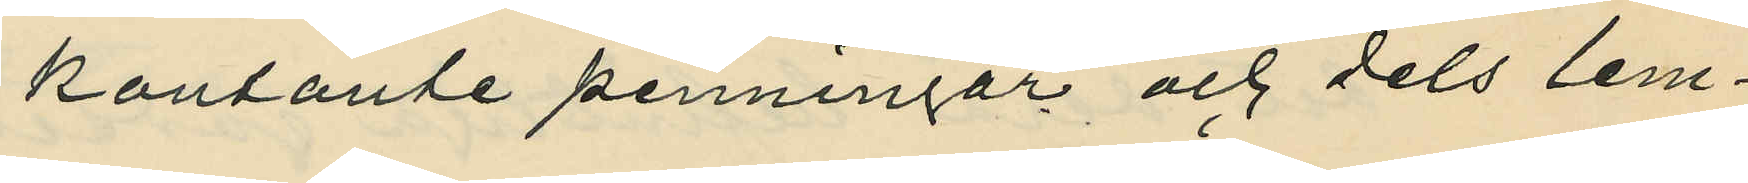kontante penningar och dels lem¬
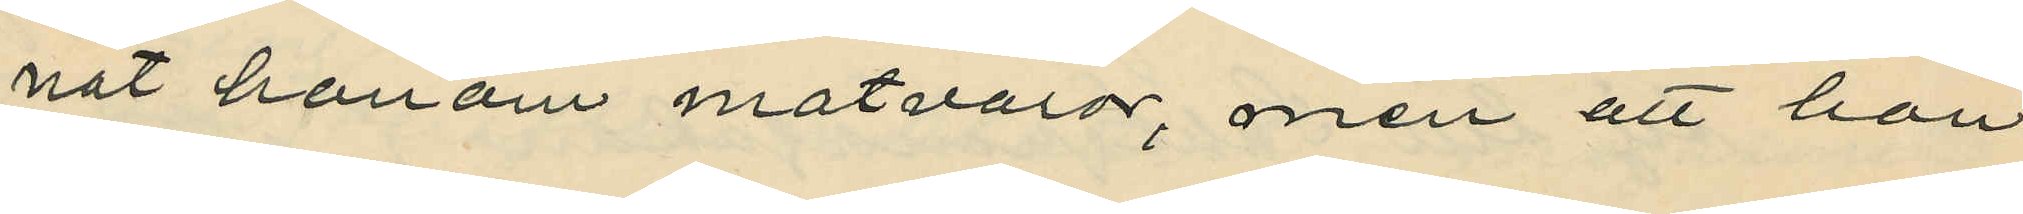nat honom matvaror, men att hon
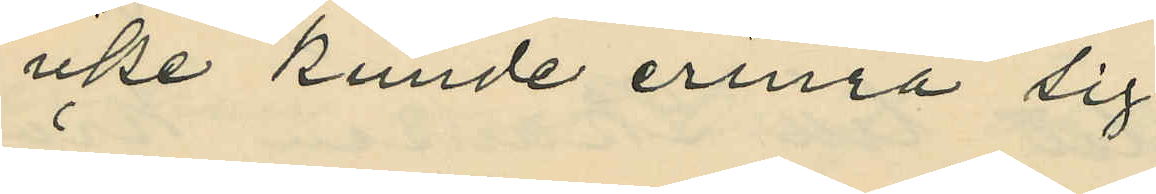icke kunde erinra sig
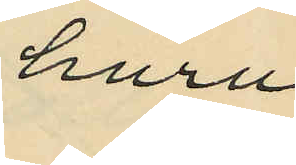huru
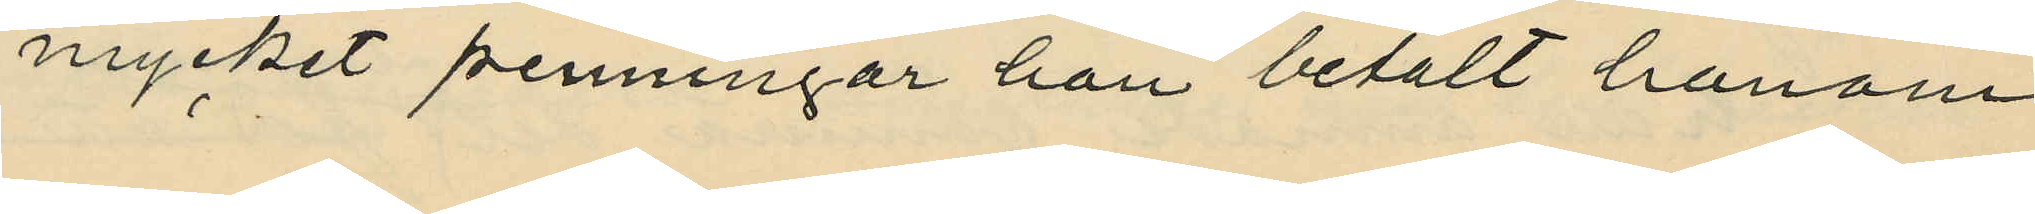mycket penningar hon betalt honom
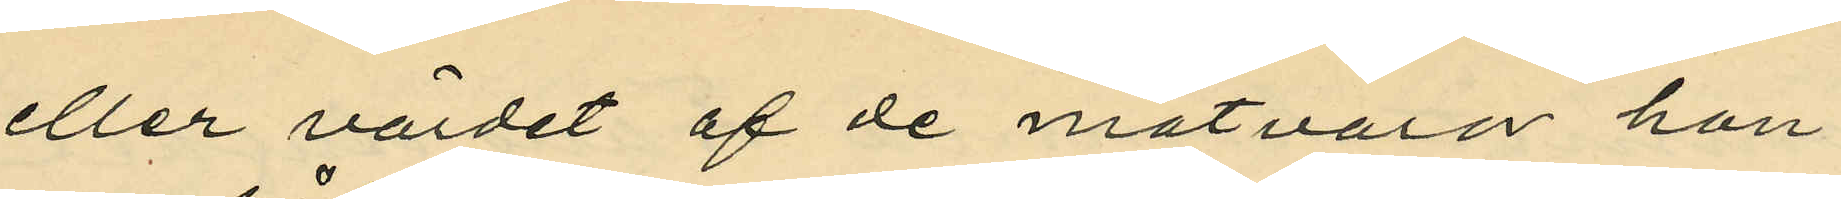eller värdet af de matvaror han
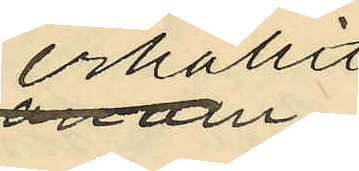erhållit,
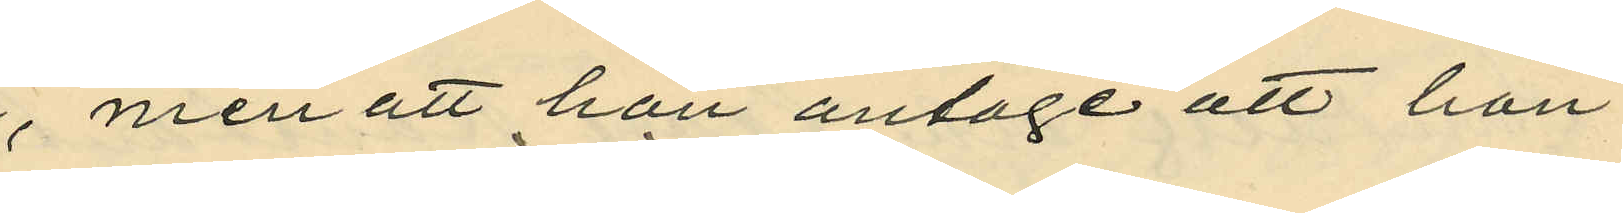men att hon antoge att hon
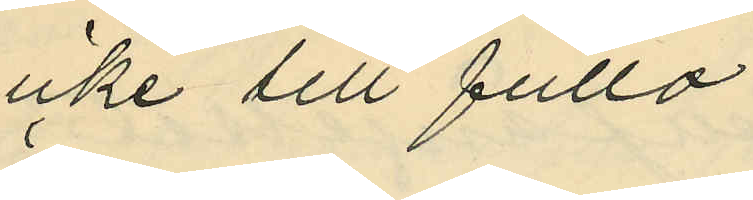icke till fullo
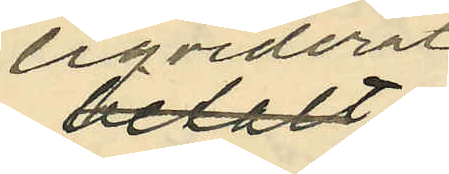liqviderat
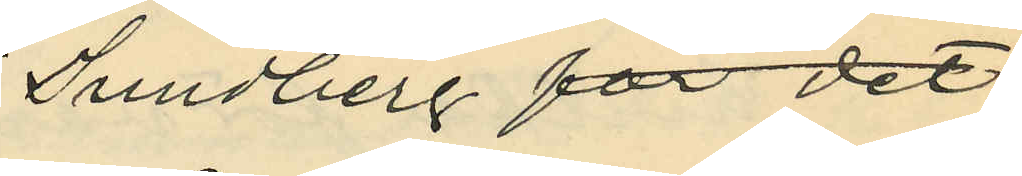Sundberg för det;
